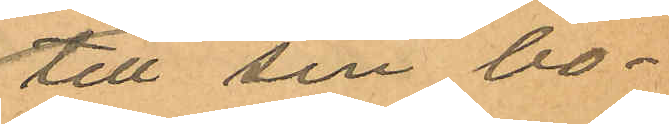till sin bo¬
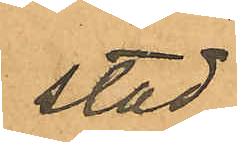stad
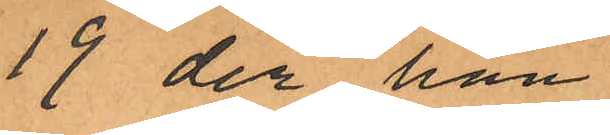19 der han
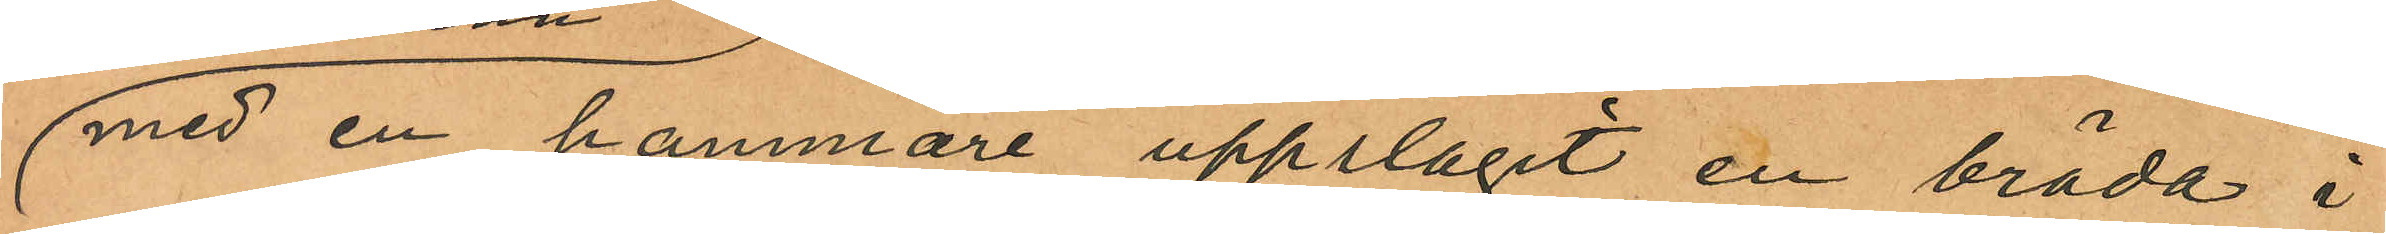med en hammare uppslagit en bräda i
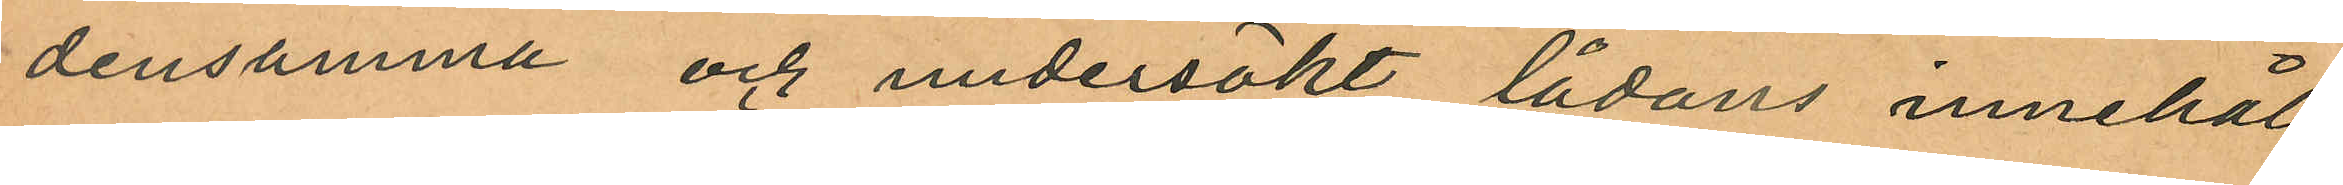densamma och undersökt lådans innehåll,
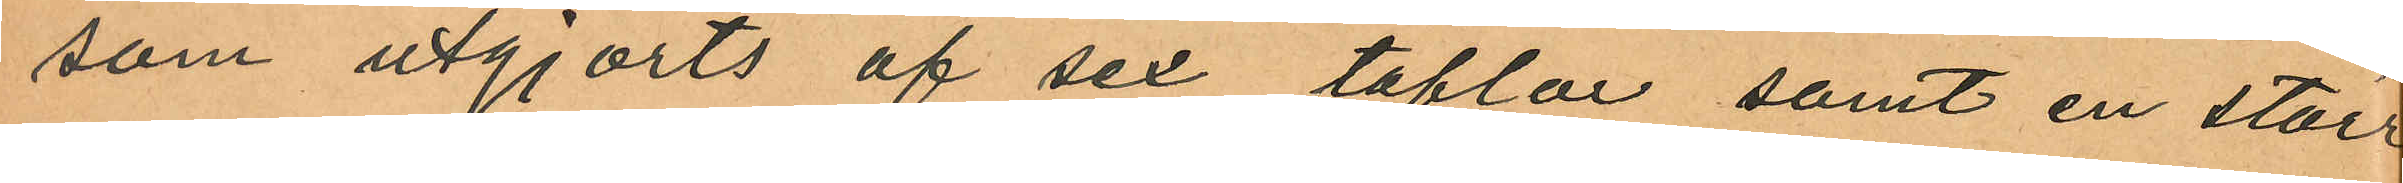som utgjorts af sex toflor samt en större
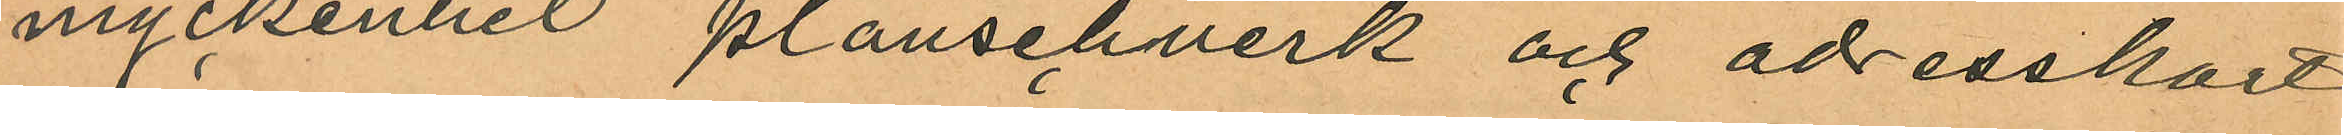myckenhet planschverk och adresskort,
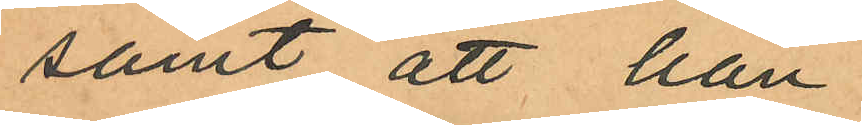samt att han
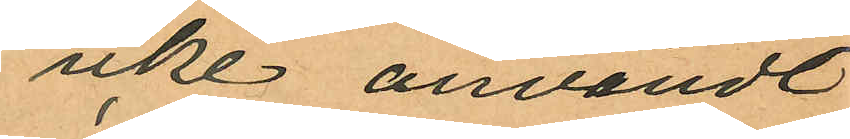icke användt
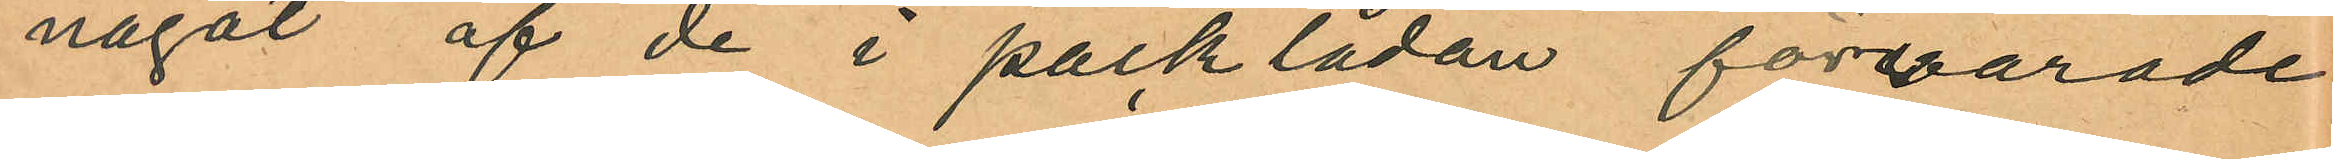något af de i packlådan förvarade
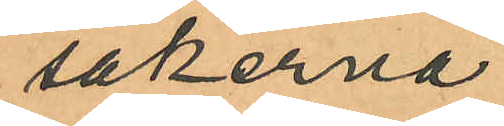sakerna;
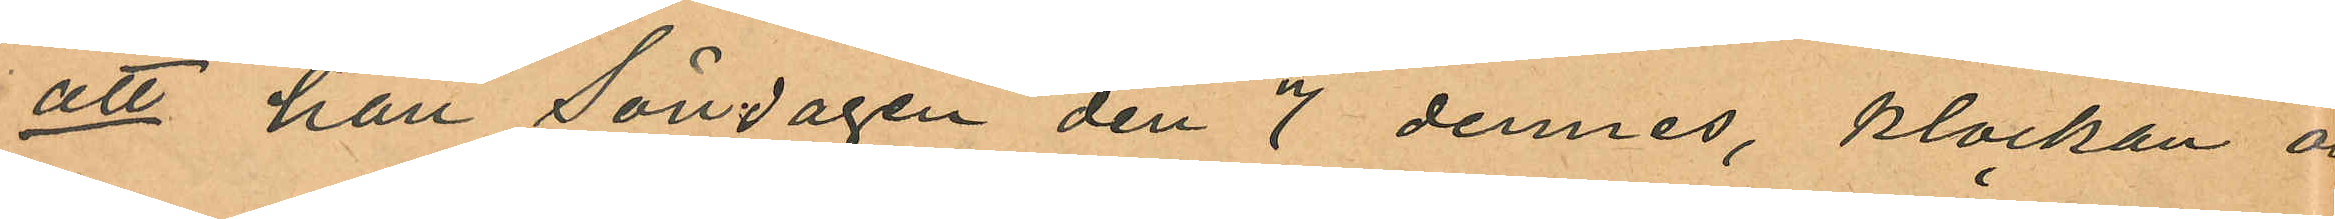att han Söndagen den 7 dennes, klockan o
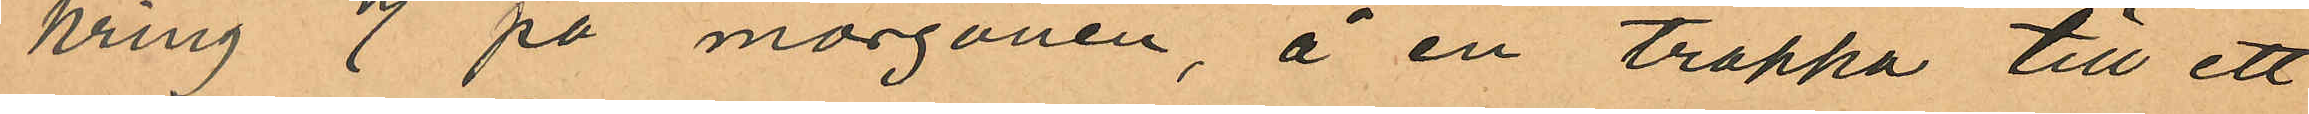kring 7 på morgonen, å en trappa till ett
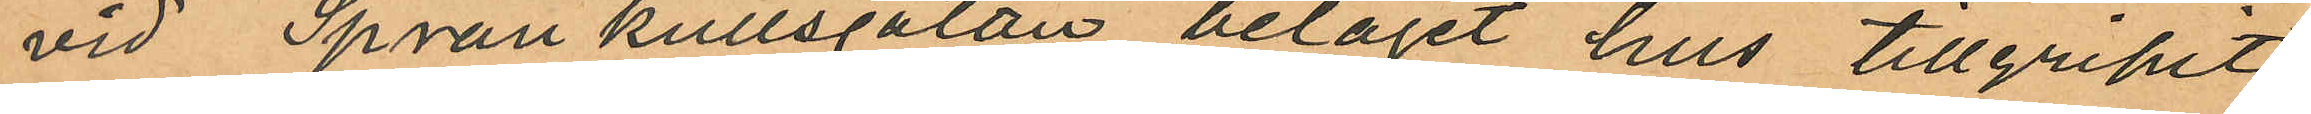vid Spränkullsgatan beläget hus tillgripit
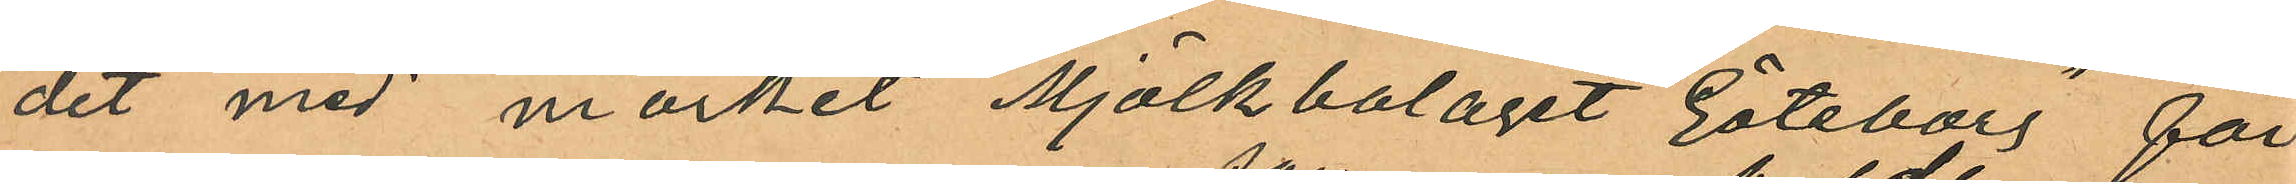det med märket "Mjölkbolaget Göteborg" för
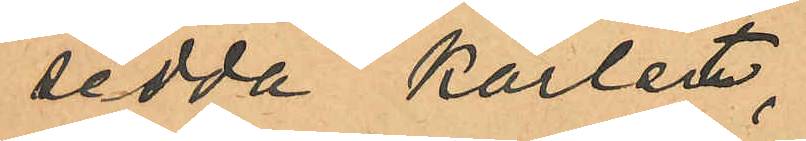sedda kärlet;
